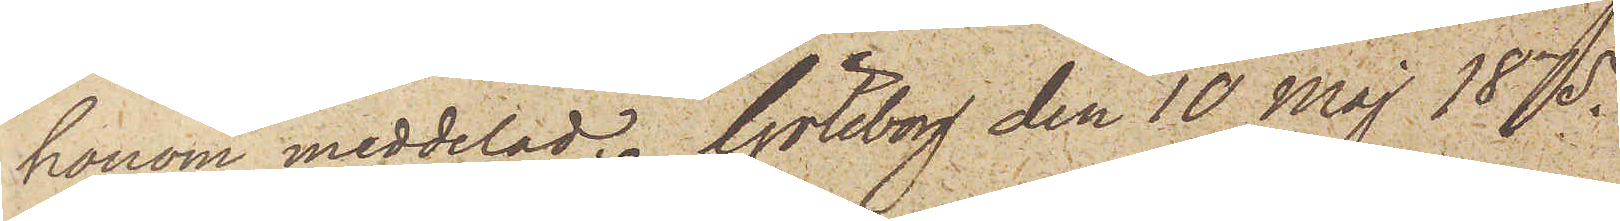honom meddelad. Göteborg den 10 Maj 1875.
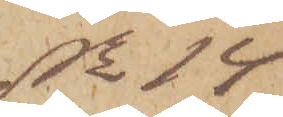No 14
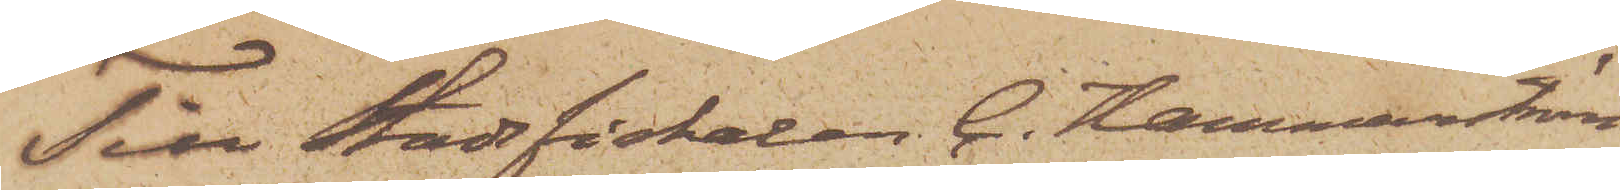Till Stadsfiskalen C. Hammarström
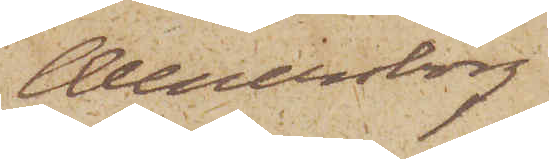Wenersborg
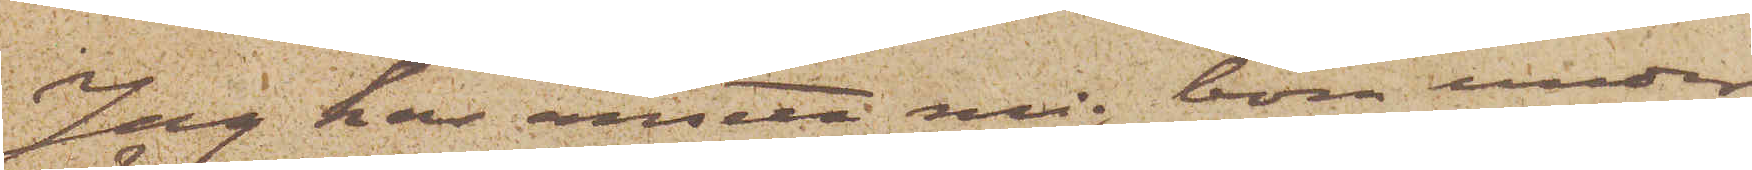Jag har ansett mig böra under¬
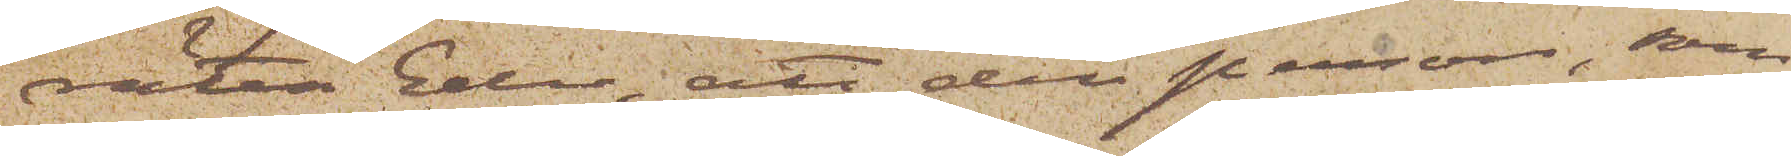rätta Eder; att den person, som
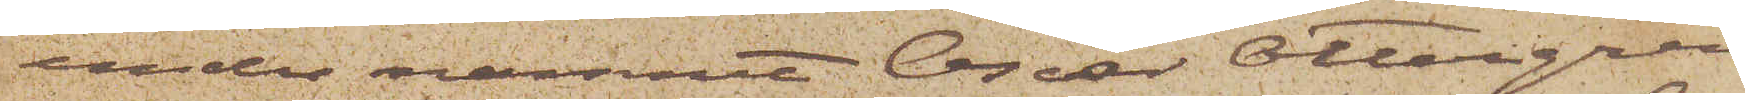under namnet Oscar Ottergren,
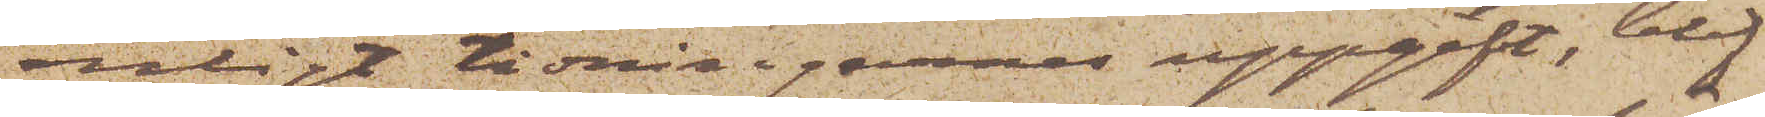enligt tidningarnes uppgift, blif¬
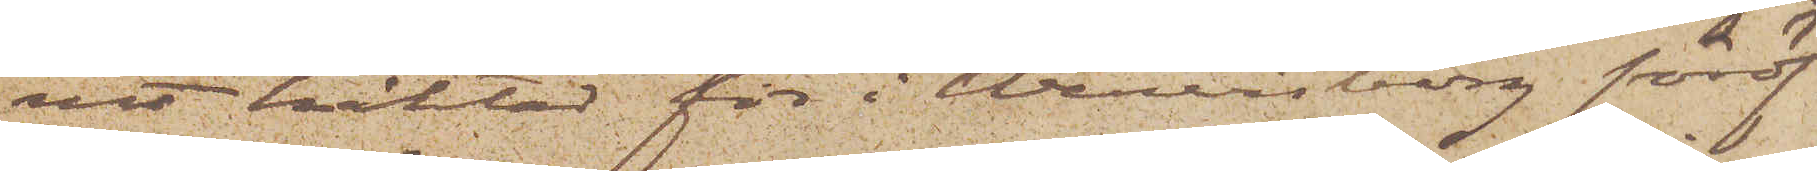vit häktad för i Wenersborg föröf¬
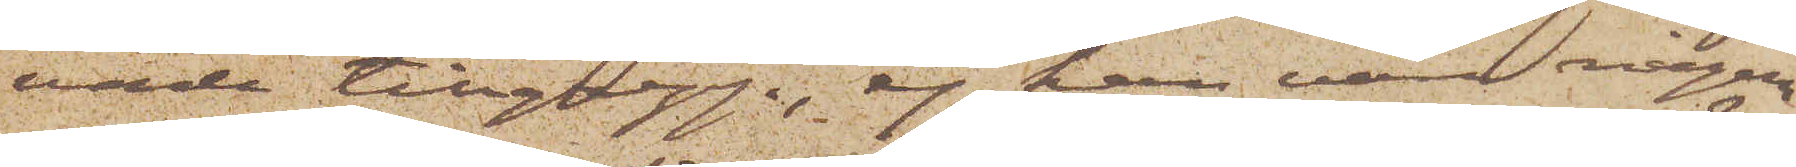vade tillgrepp, ej kan vara någon
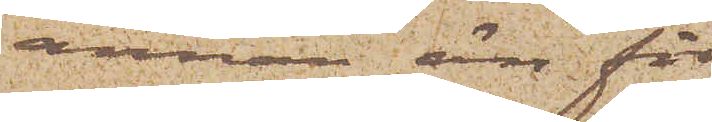annan är för
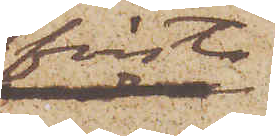första
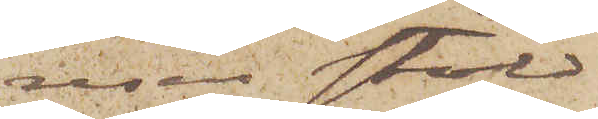resan stöld
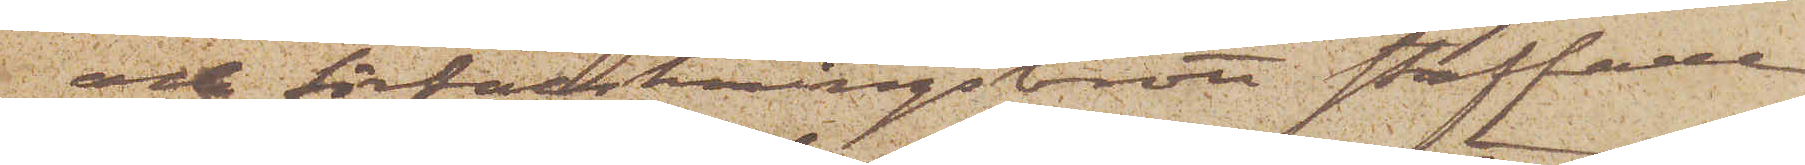och förfalskningsbrott straffade
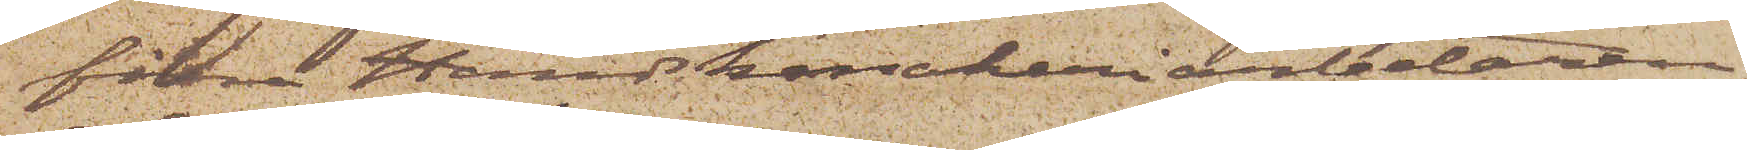förra Handskmakeriarbetaren
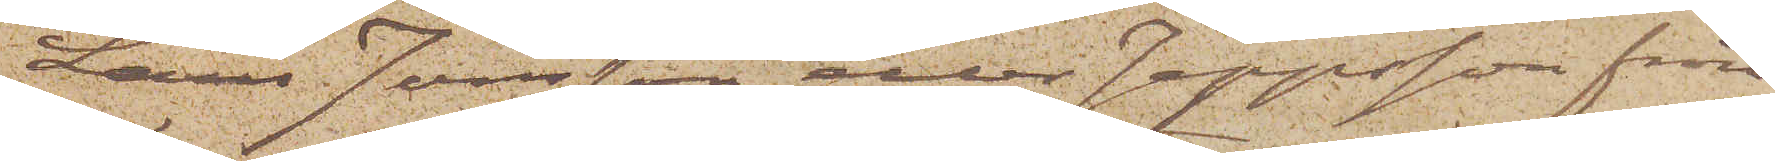Lars Jönsson eller Jeppsson från
